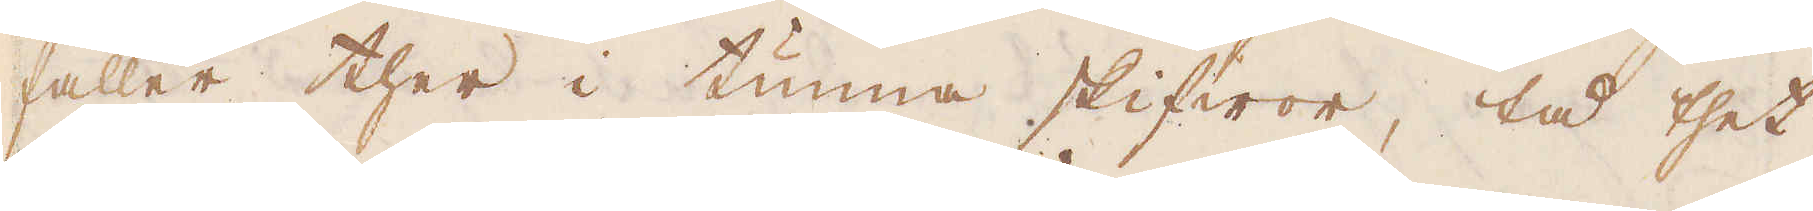faller ther i tunna skifwor, tå thet
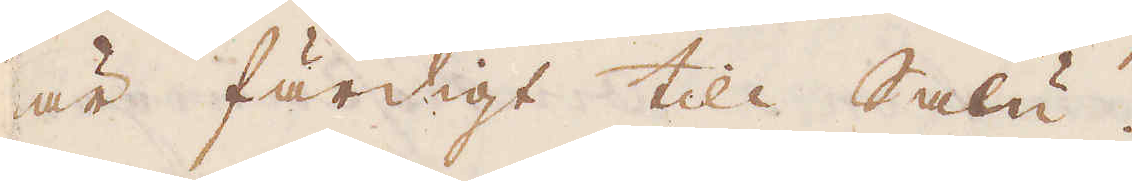är färdigt till Salu.
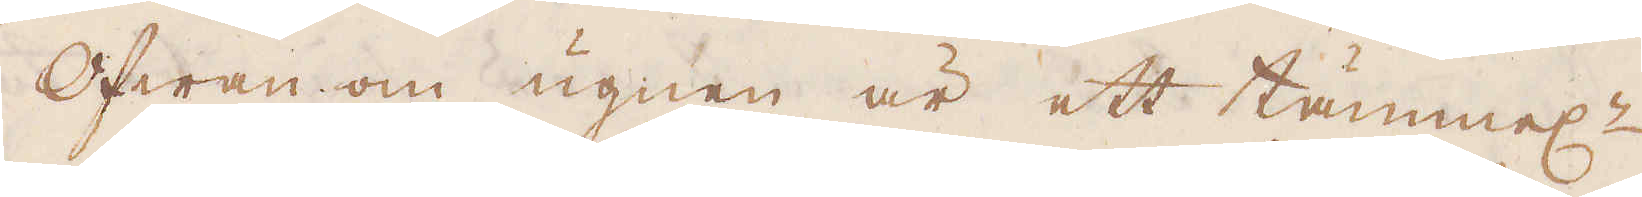Ofwan om ugnen är ett tämmel:n
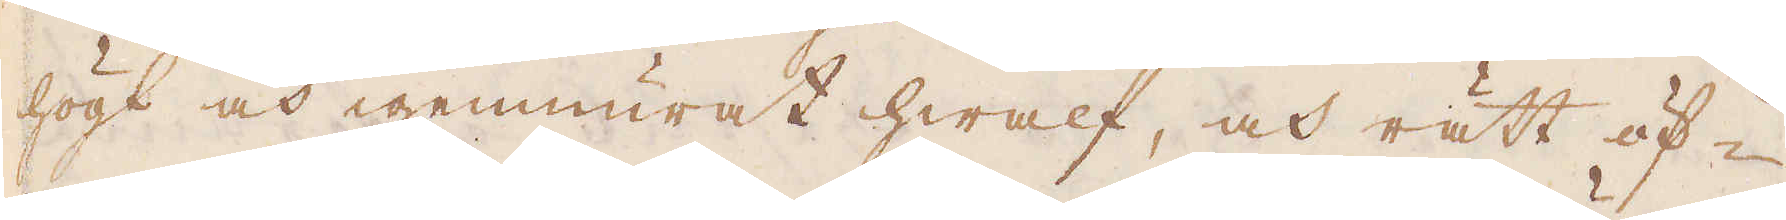högt och igenmurat hwalf, och rätt öf-
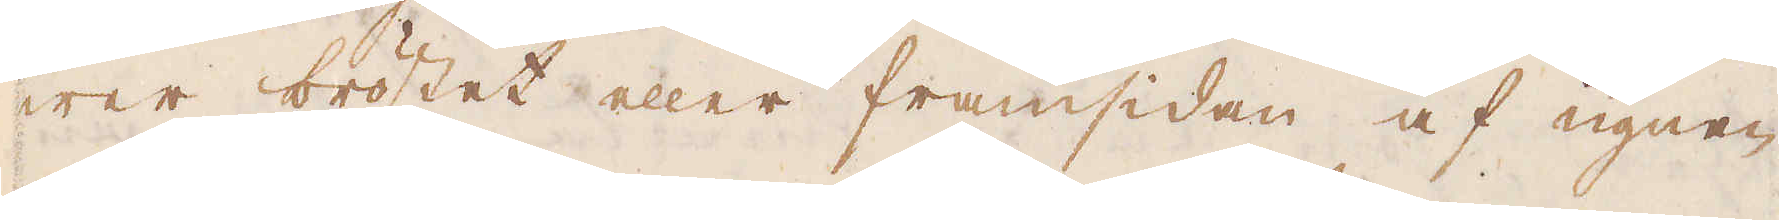wer bröstet eller framsidan af ugnen
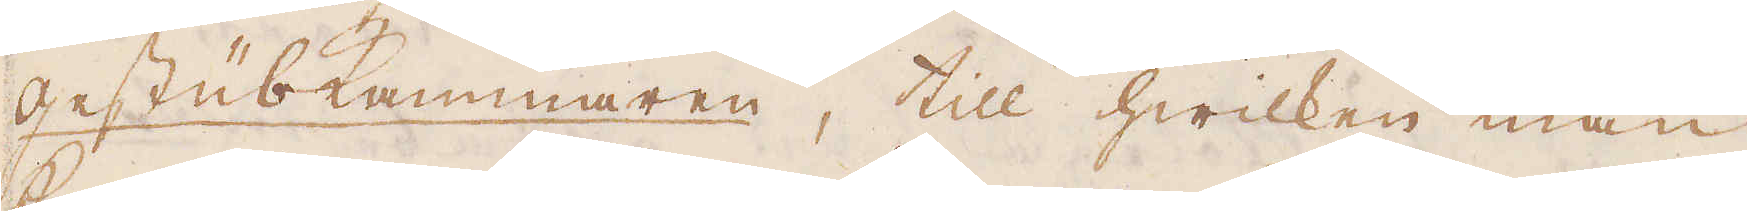Gestübkammaren, till hwilken man
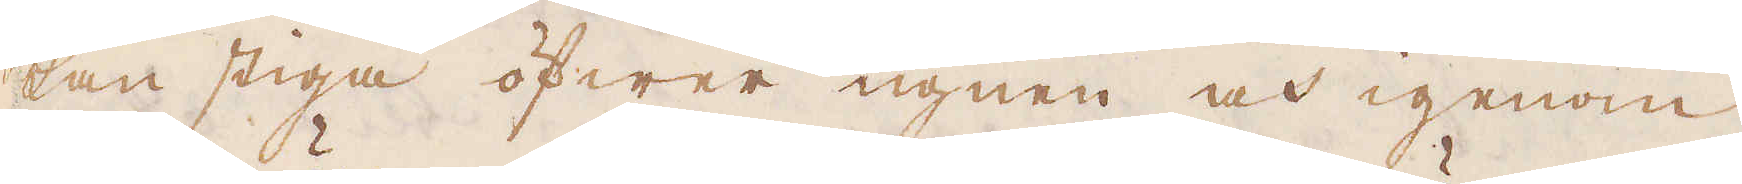kan stiga öfwer ugnen och igenom
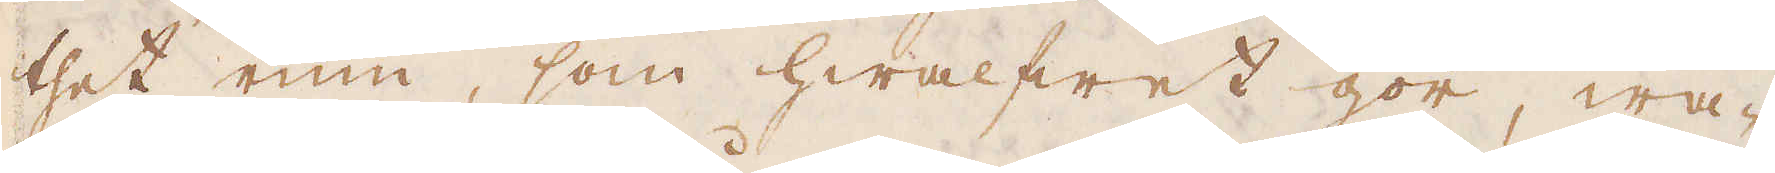thet rum, som hwalfwet gör, wa-
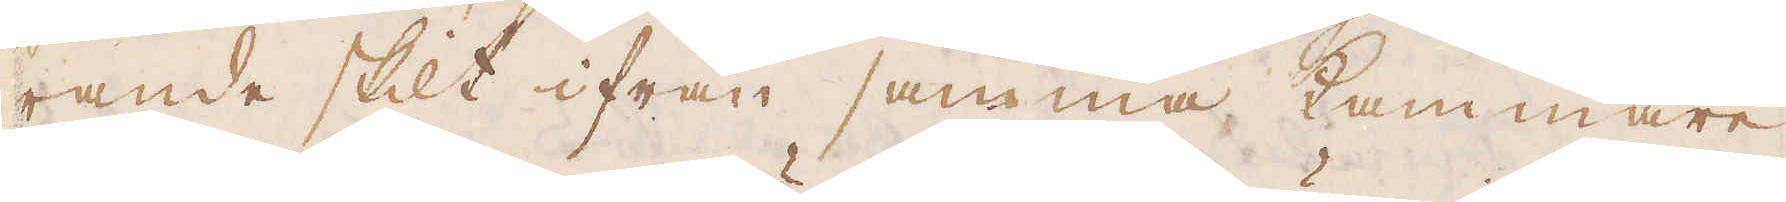rande skilt ifrån samma kammare
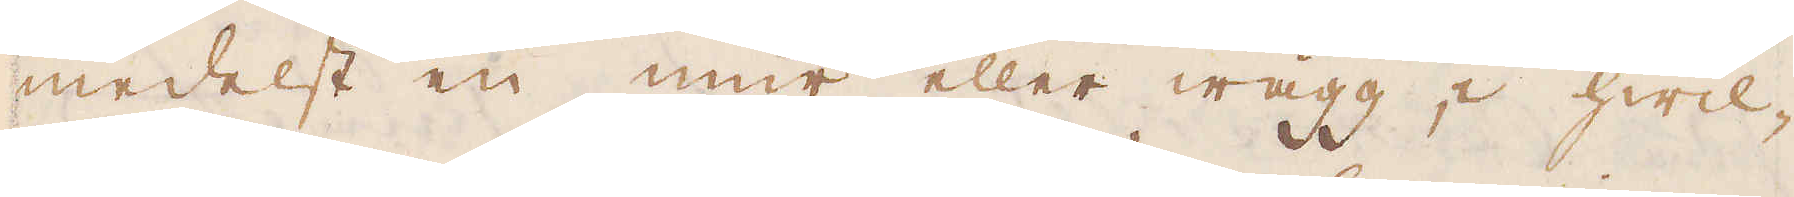medelst en mur eller wägg, i hwil-
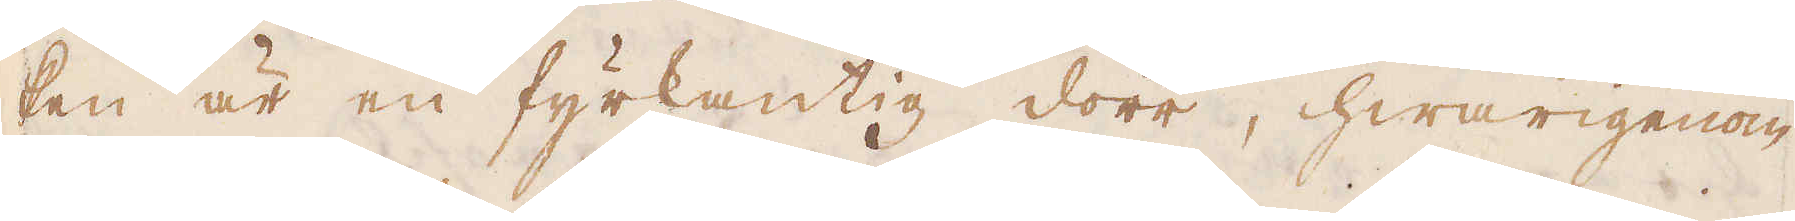ken är en fyrkantig dörr, hwarigenom
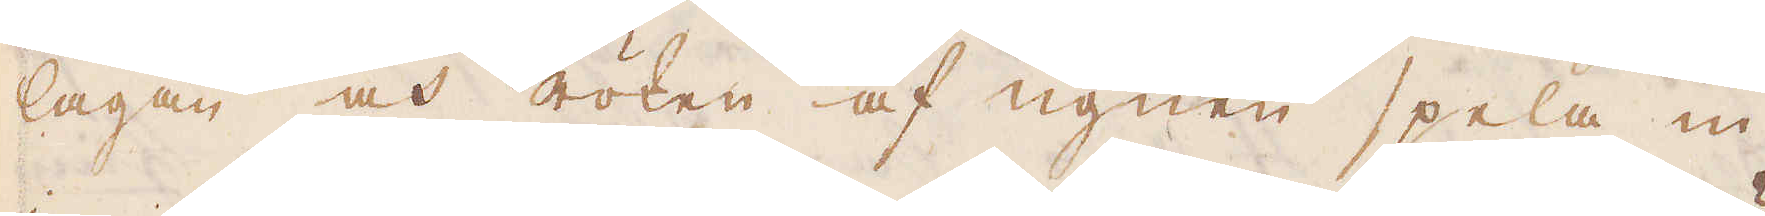lågan och röken af ugnen spela in
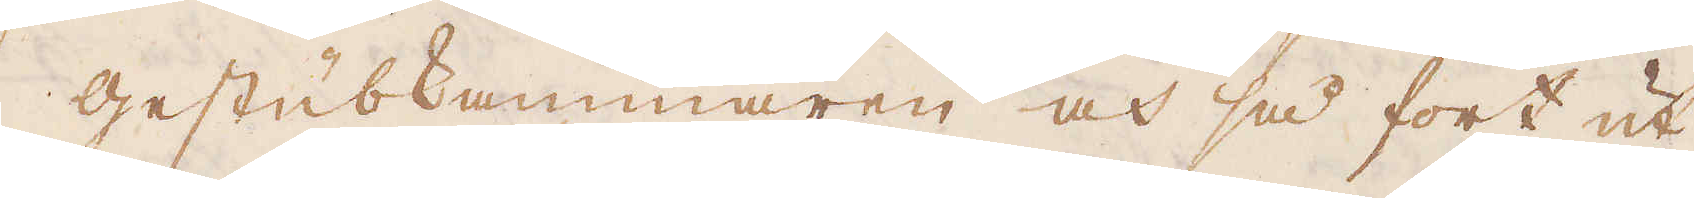i Gestubkammaren och så fort ut
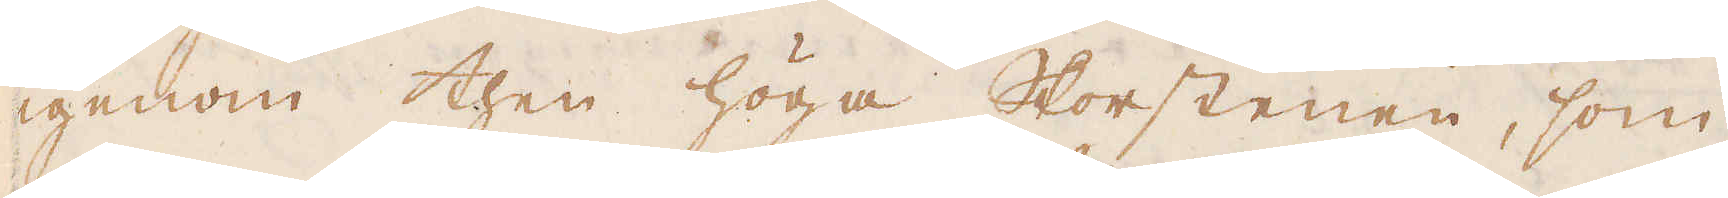igenom then höga Skorstenen, som
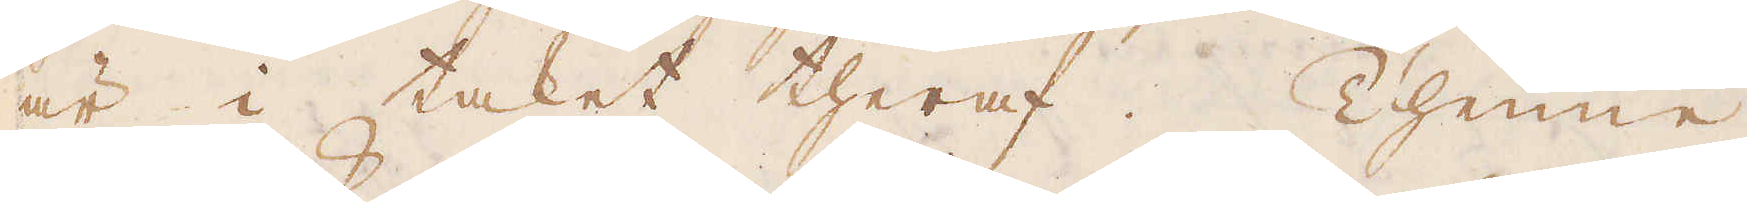är i taket theraf. Thenne
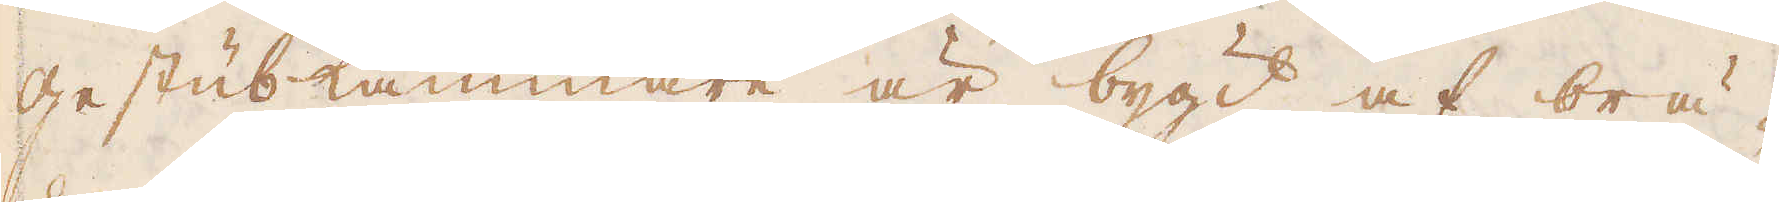Gestub-kammare är bygd af brä-
